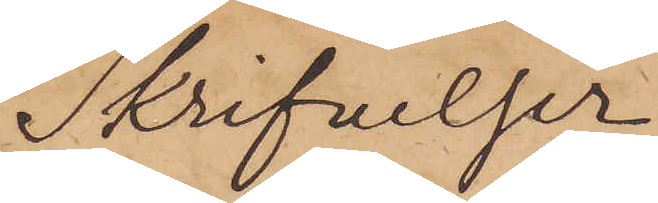Skrifvelser
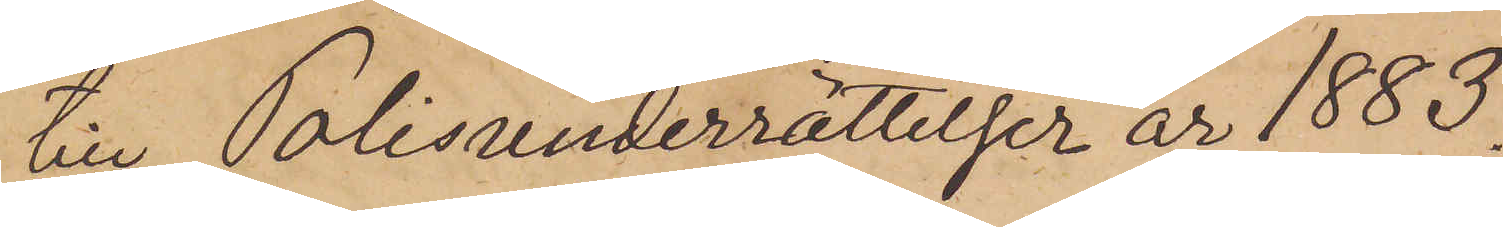till Polisunderrättelser år 1883.
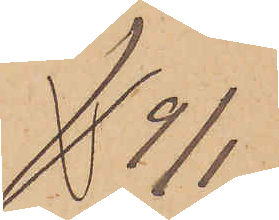9/1.
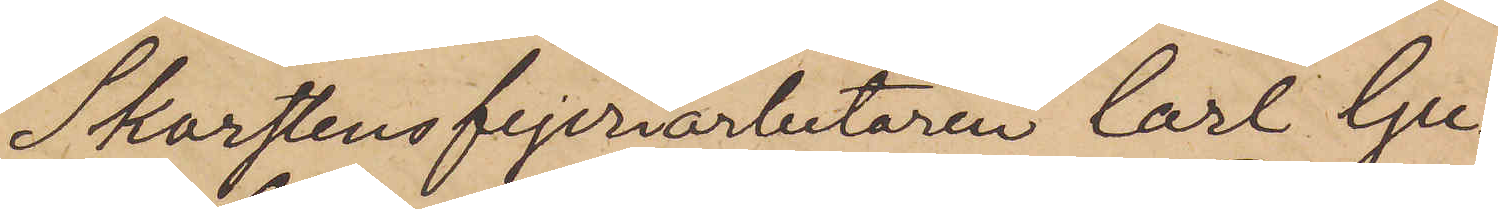Skorstensfejeriarbetaren Carl Gu¬
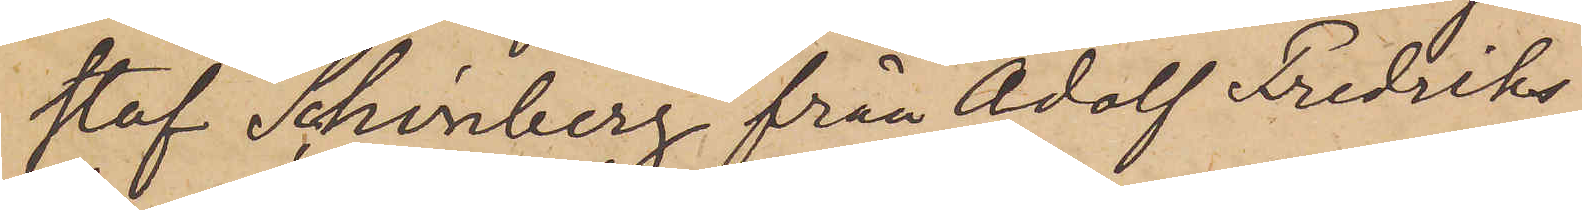staf Schönberg från Adolf Fredriks
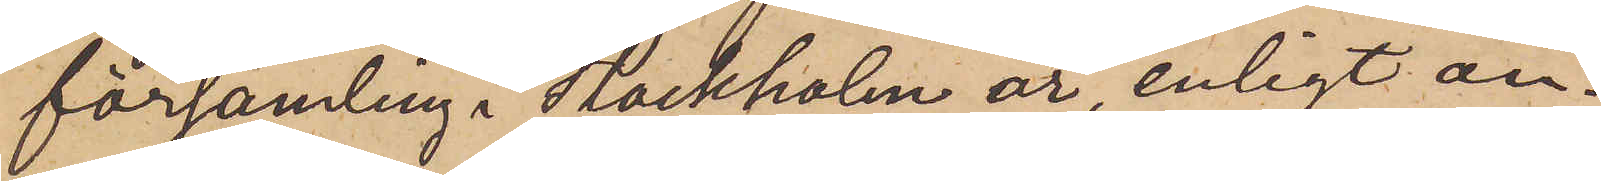församling i Stockholm är enligt an¬
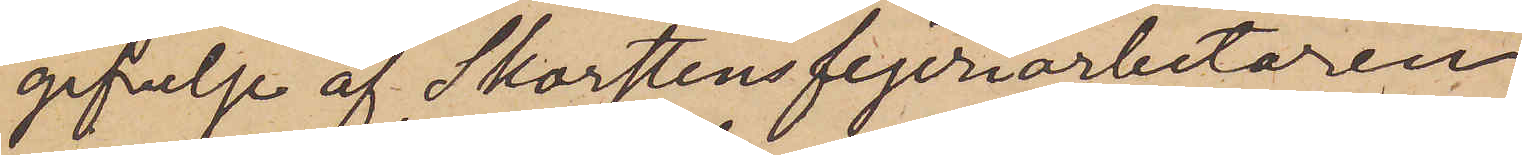gifvelse af Skorstensfejeriarbetaren
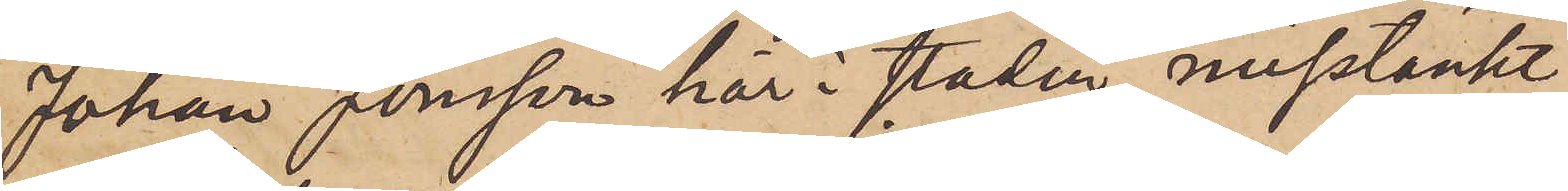Johan Jonsson här i staden, misstänkt
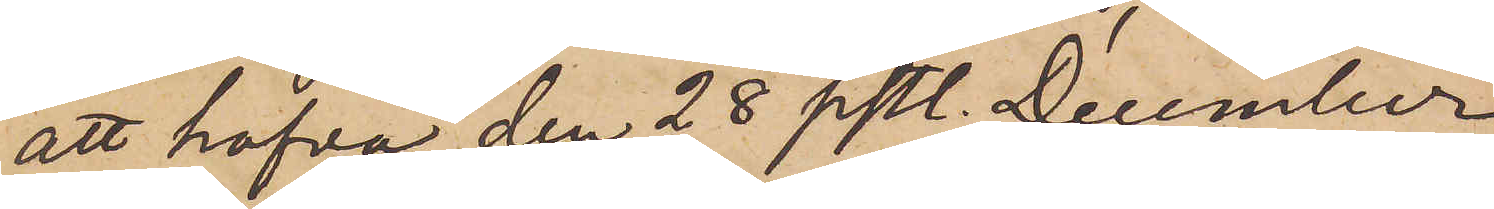att hafva den 28 sistl. December
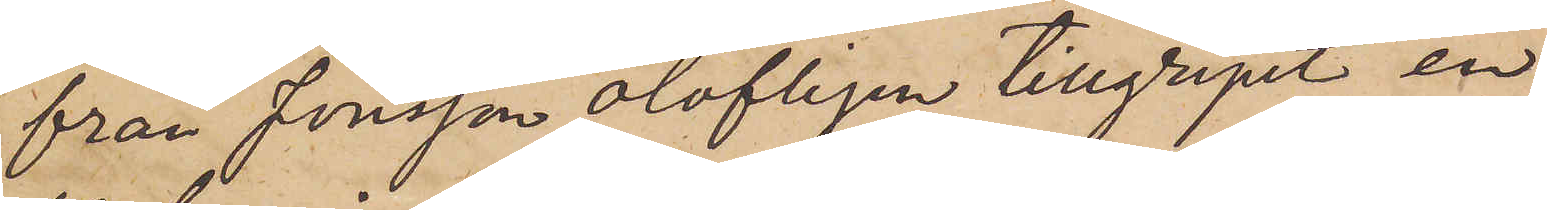från Jonsson olofligen tillgripit en
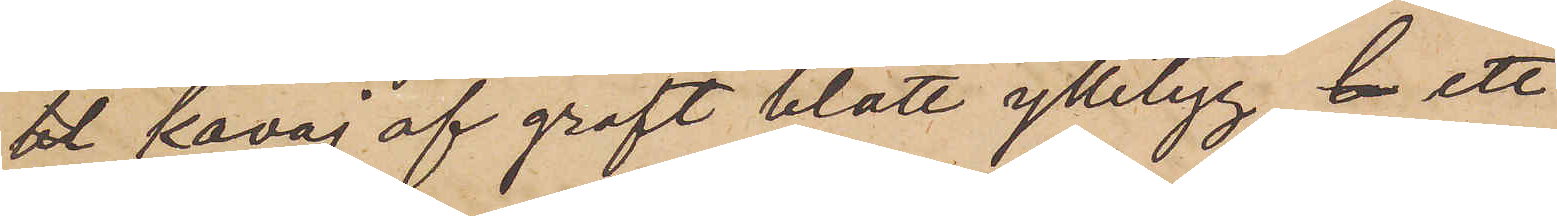bl kavaj af groft blått ylletyg b ett
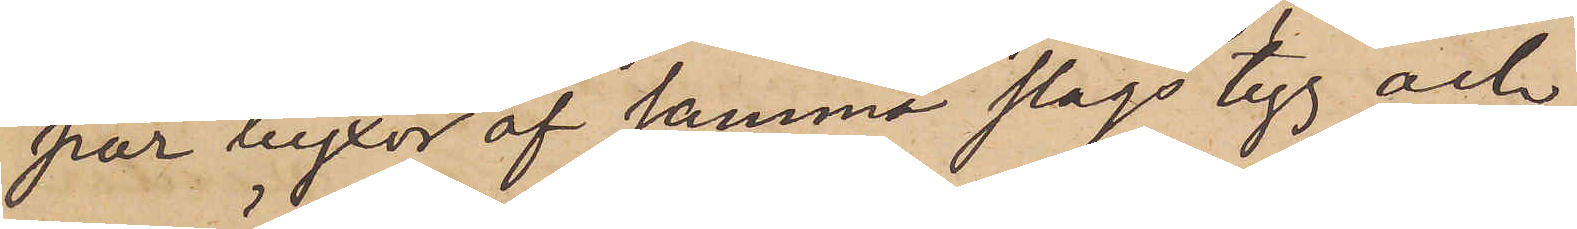par byxor af samma slags tyg och
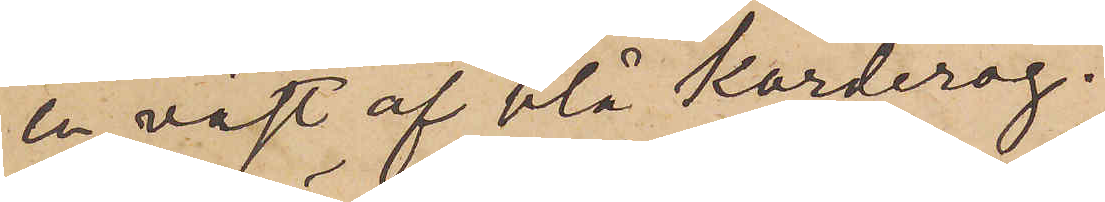en väst af blå korderoj.
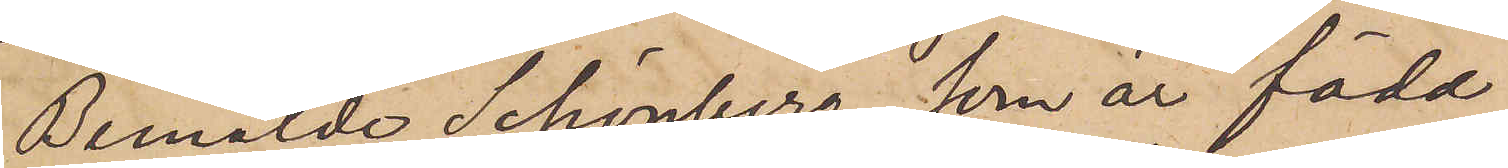Bemälde Schönberg, som är född
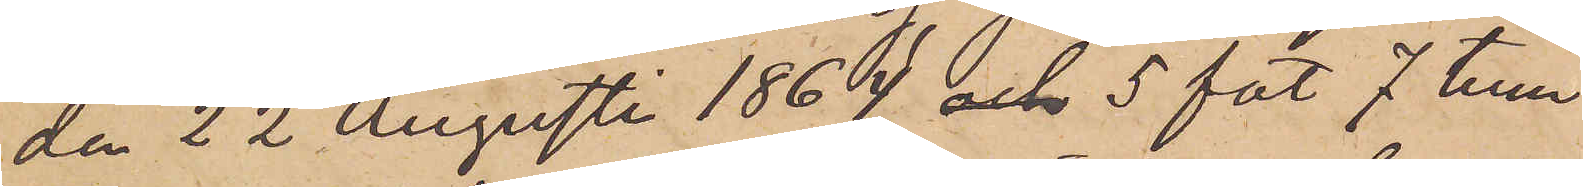den 22 Augusti 1864, och 5 fot 7 tum
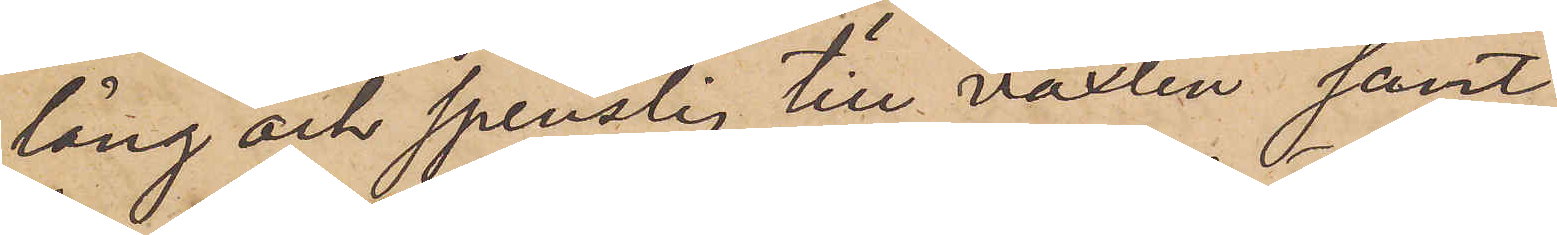lång och spenslig till växten samt
